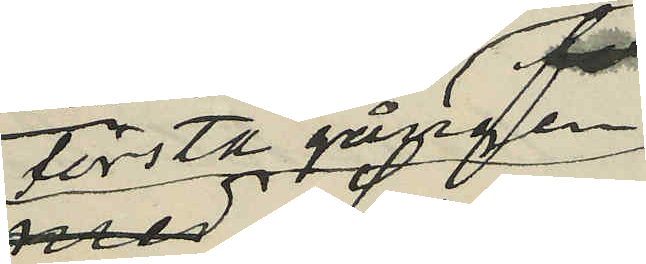första gången
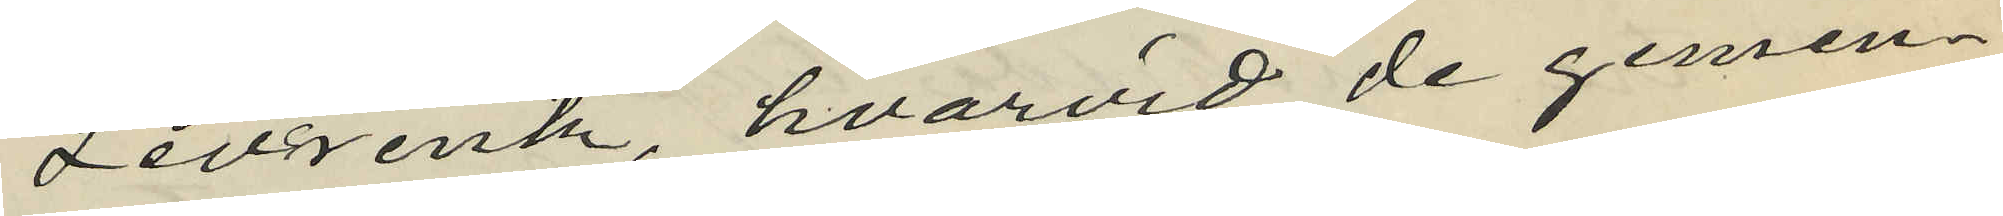Levrentz, hvarvid de gemen¬
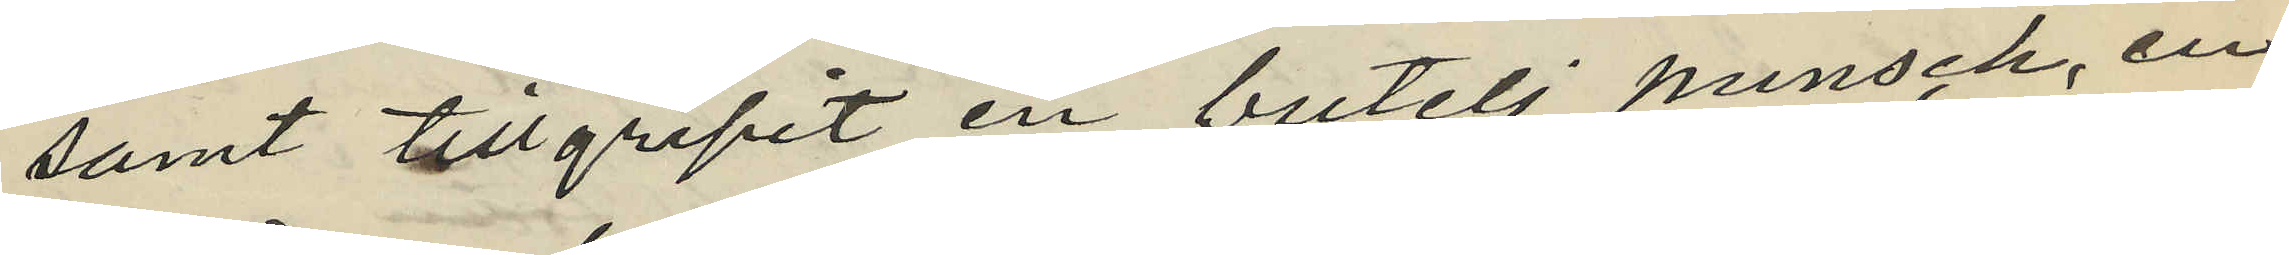samt tillgripit en butelj punsch, en
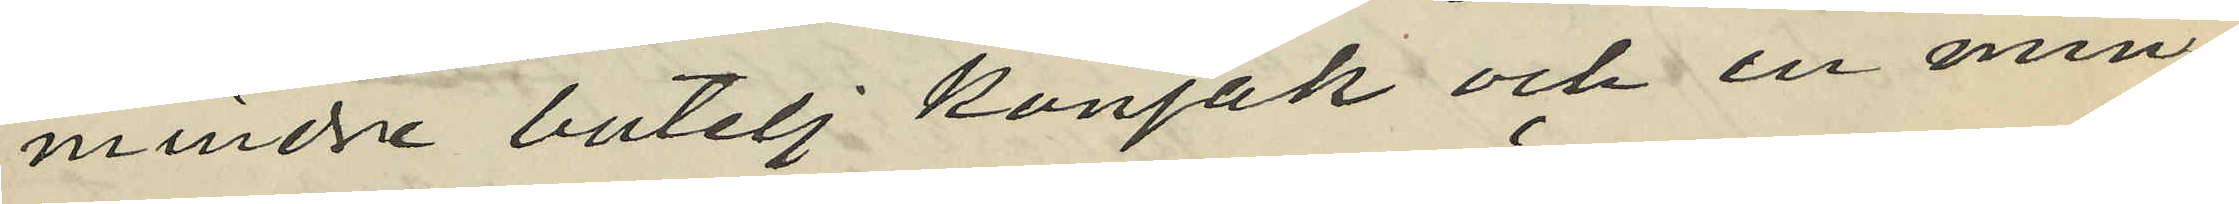mindre butelj konjak och en min¬
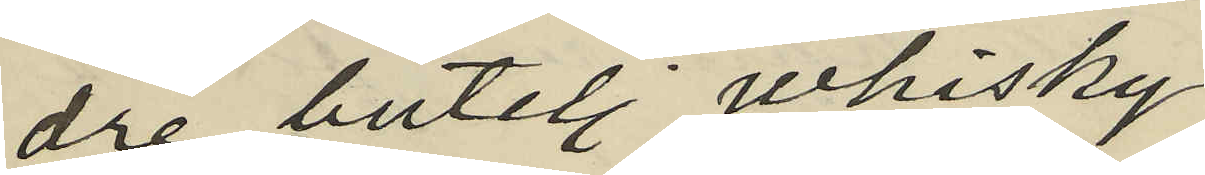dre butelj whisky;
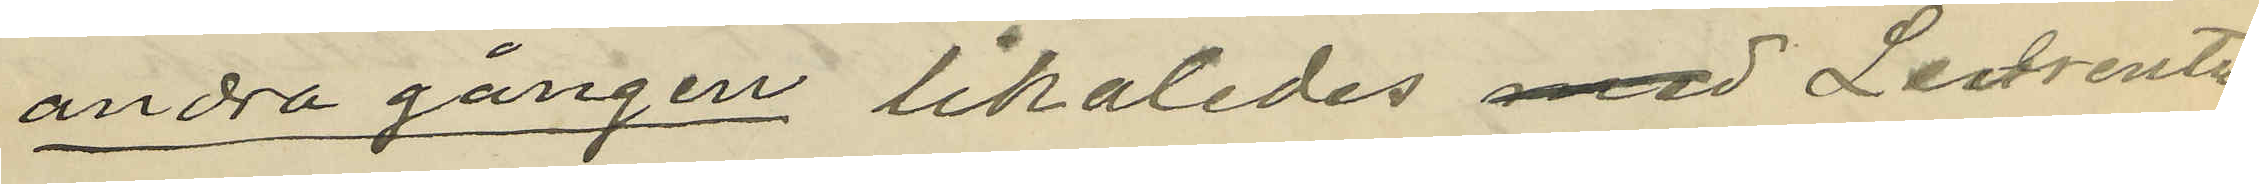andra gången likaledes med Levrentz
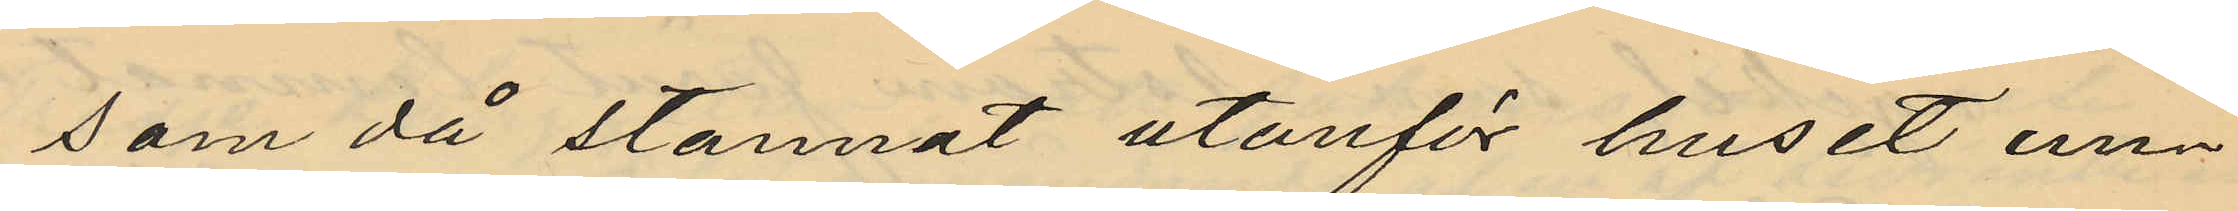som då stannat utanför huset un¬
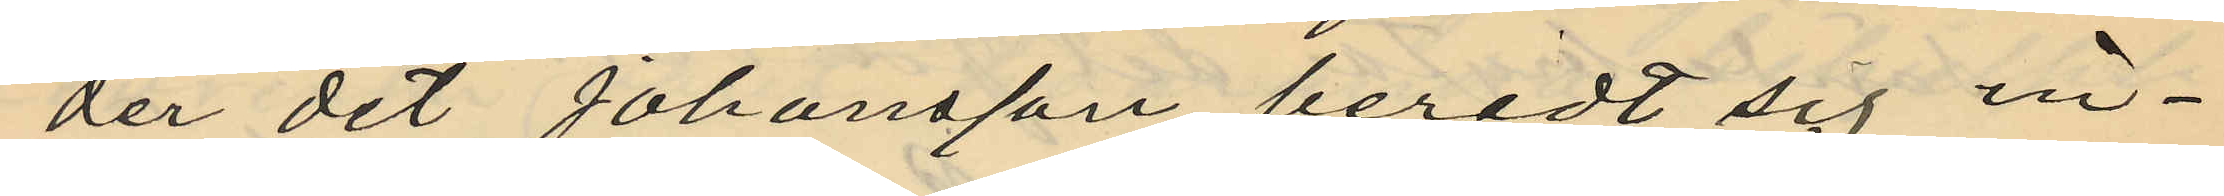der det Johansson beredt sig in¬
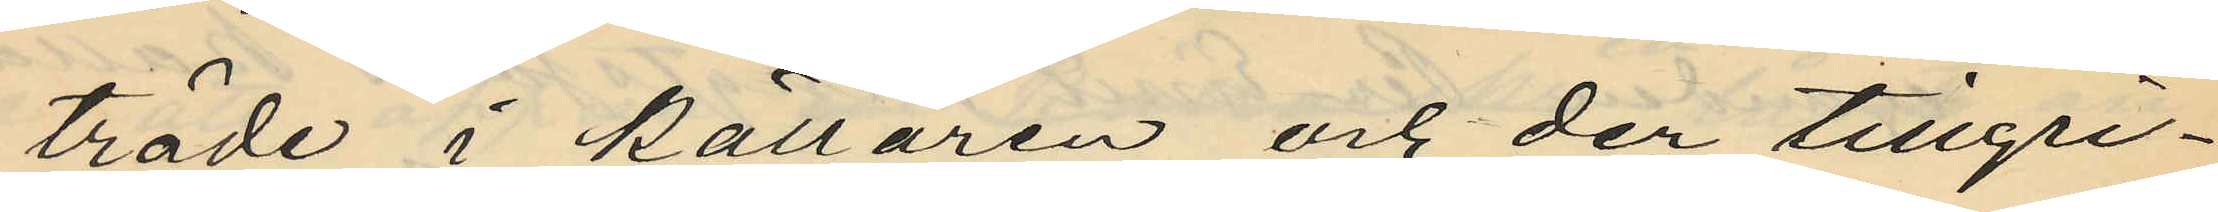träde i källaren och der tillgri¬
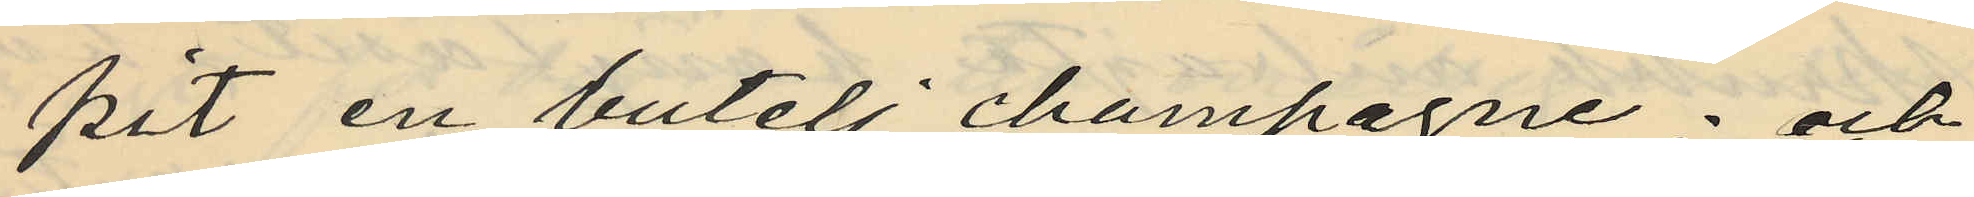pit en butelj champagne; och
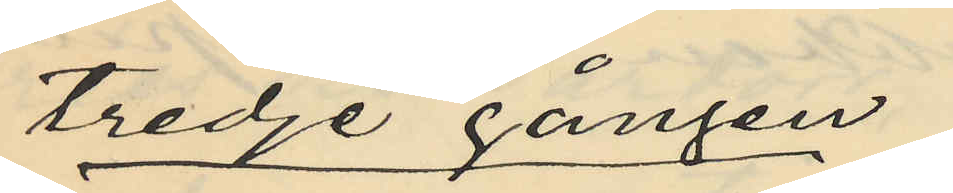tredje gången
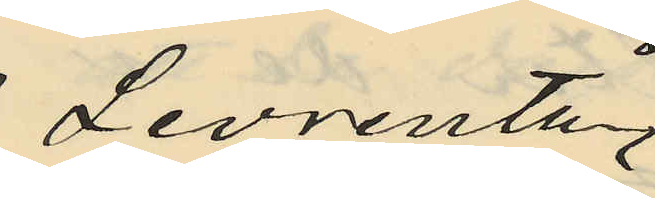Levrentz
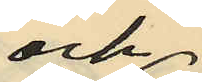och
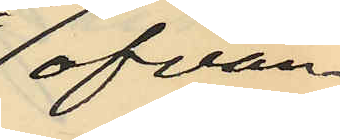ofvan¬
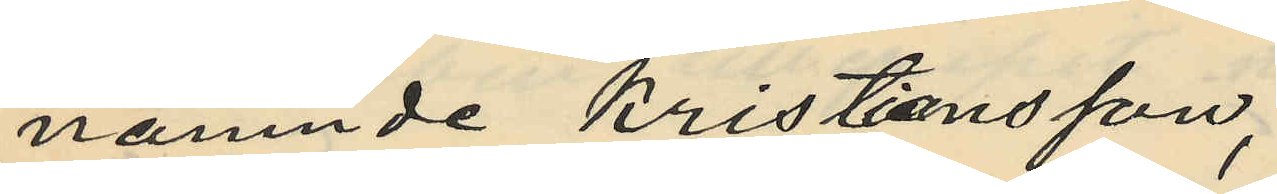nämnde Kristiansson,
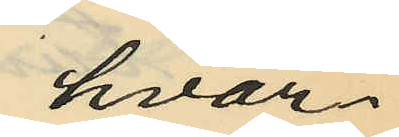hvar¬
